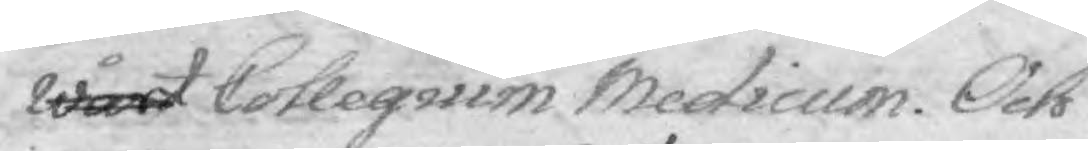wårt Colleguim Medicum. Och
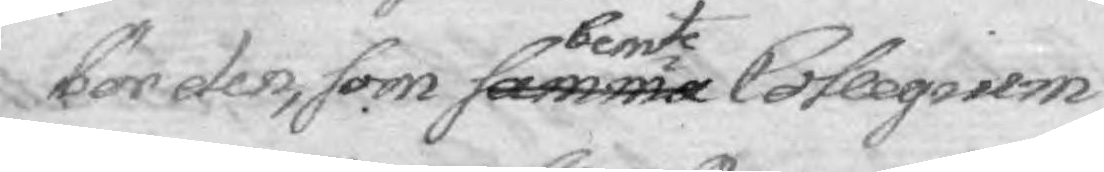bör den, som samma bemte Collegium
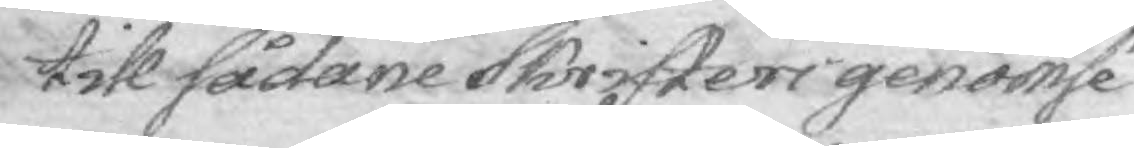till Sådane Skrifters genomsé¬
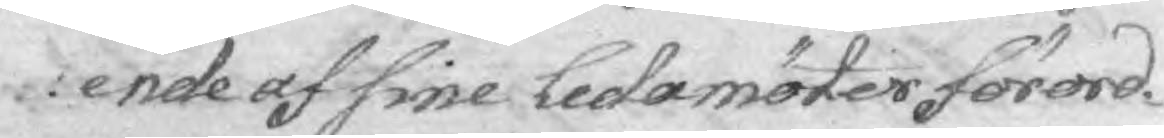ende af sine Ledamöter förord¬
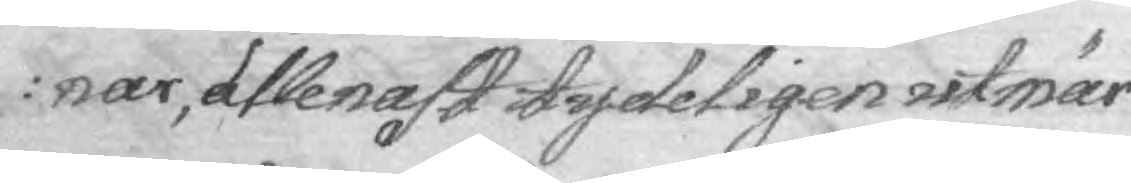nar, allenast tydeligen utmär¬
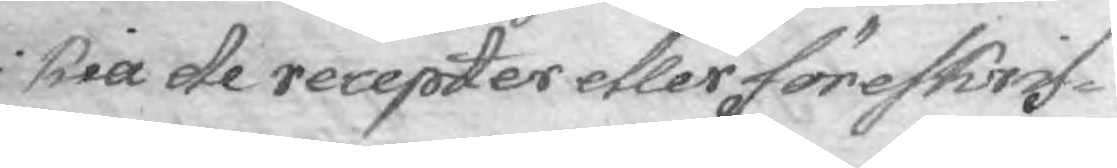kia de recepter etler föreskrif¬
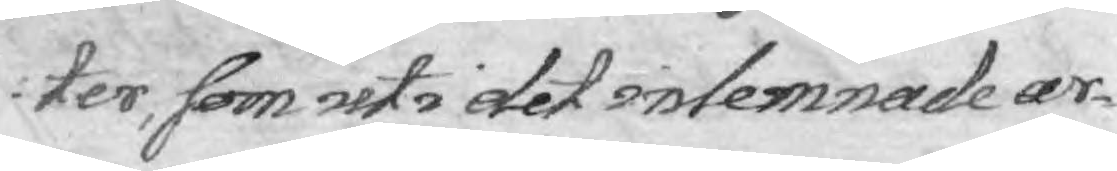ter, som uti det inlemnade ar¬
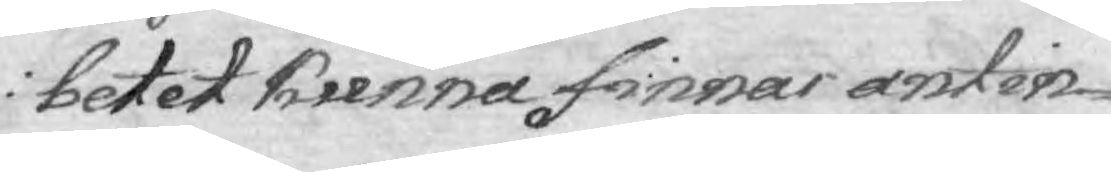betet kunna finnas antin¬
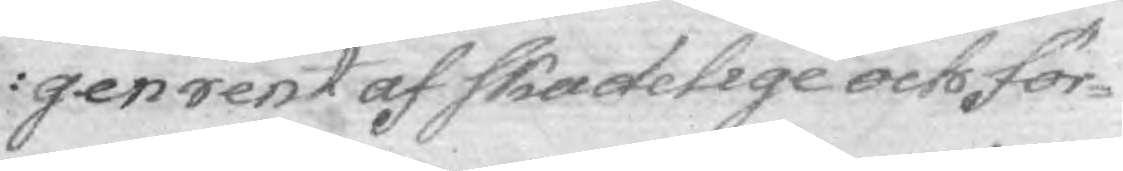gen rent af skadelige och för¬
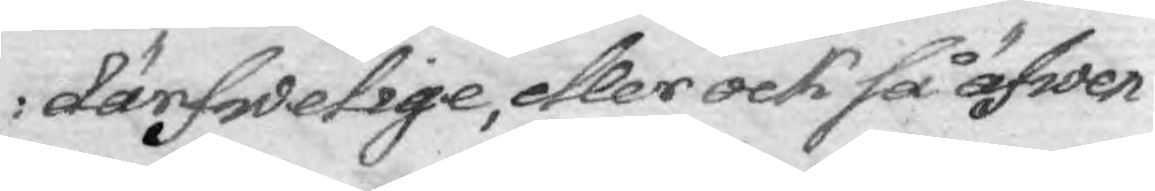därfwelige, eller ock så äfwen¬
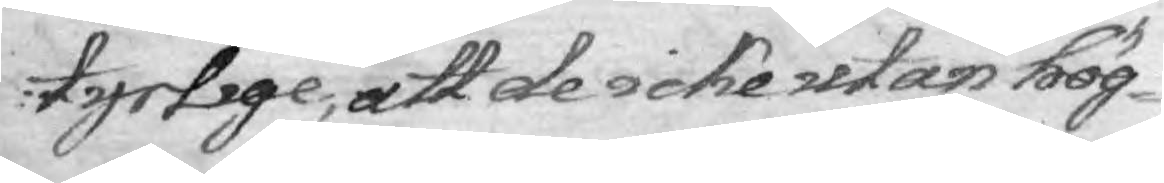tyrlige, att de icke utan hög¬
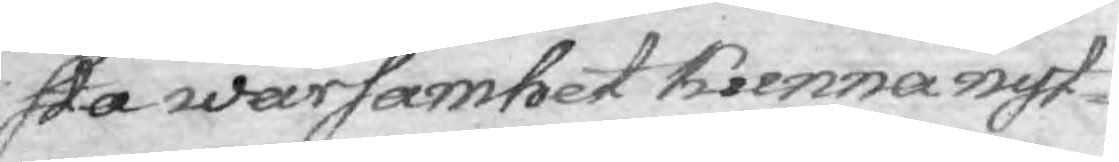sta warsamhet kunna nyt¬
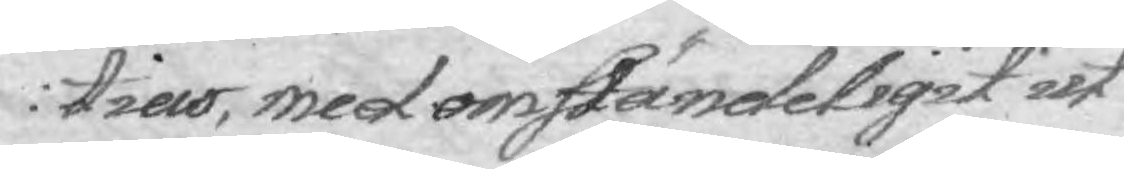tias, med omständeligit ut¬
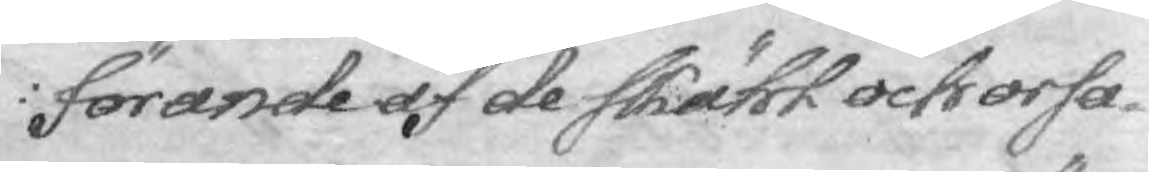förande af de skäfl och orsa¬
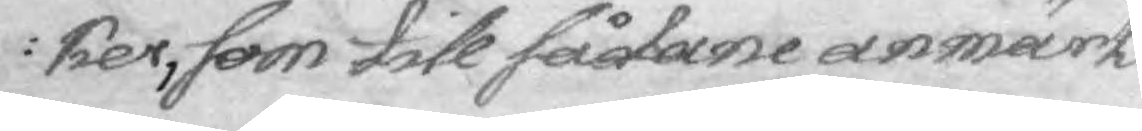ker, som till sådane anmärk¬
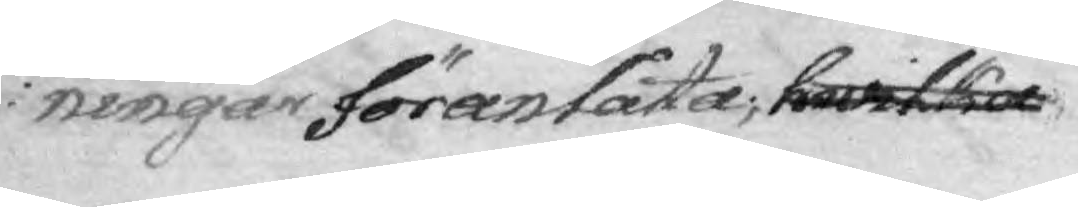ningar föranlåta, hwilka
